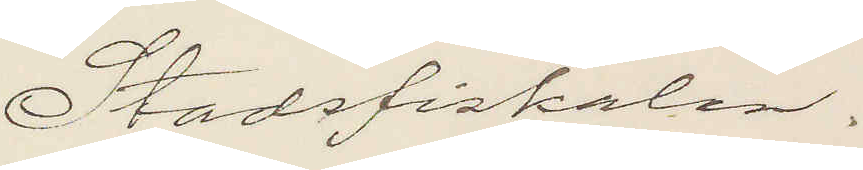Stadsfiskalen.
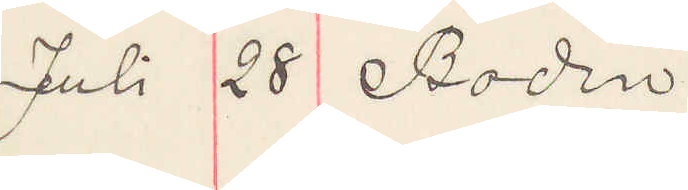Juli 28 Boden
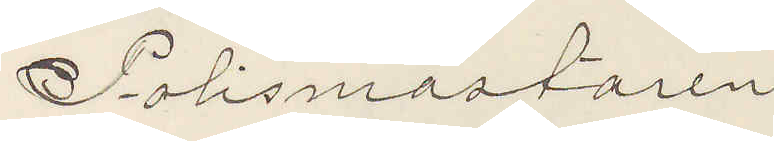Polismästaren
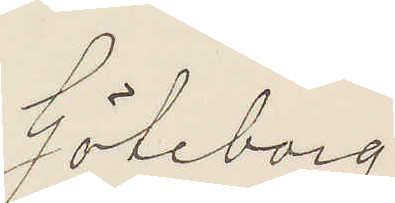Göteborg
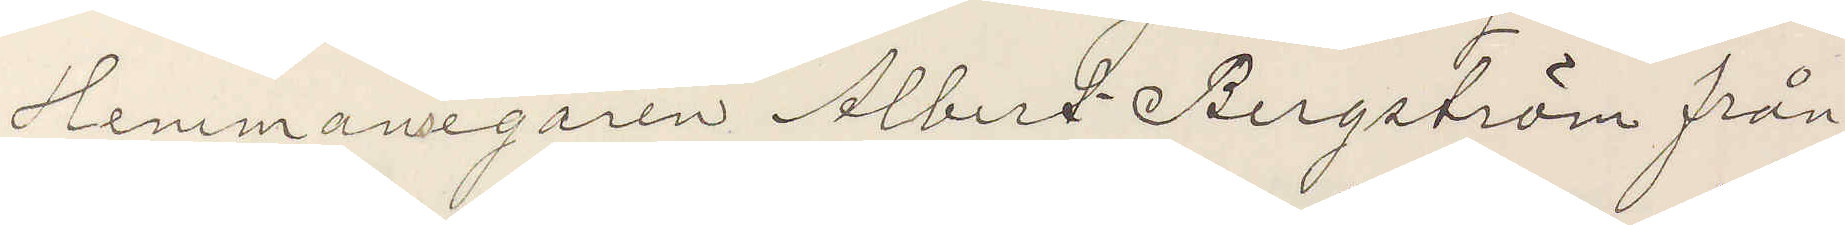Hemmansegaren Albert Bergström från
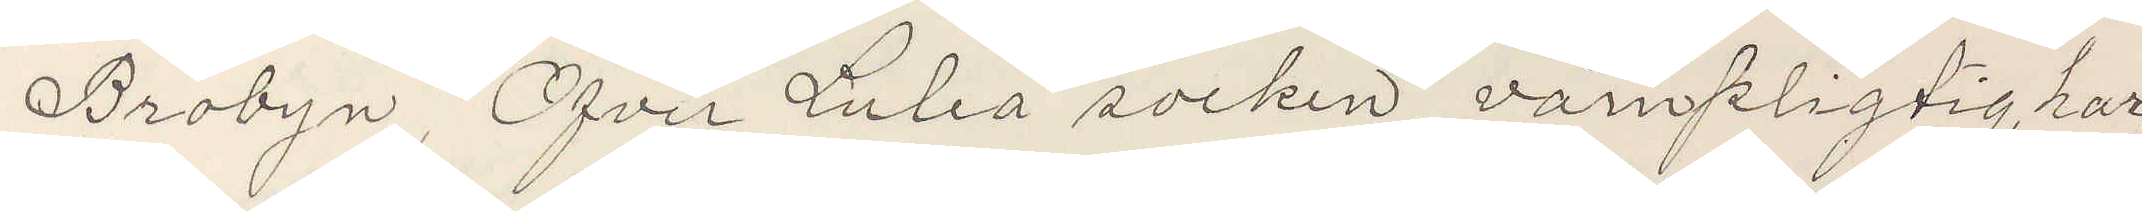Brobyn, Öfver Luleå socken, värnpligtig, har
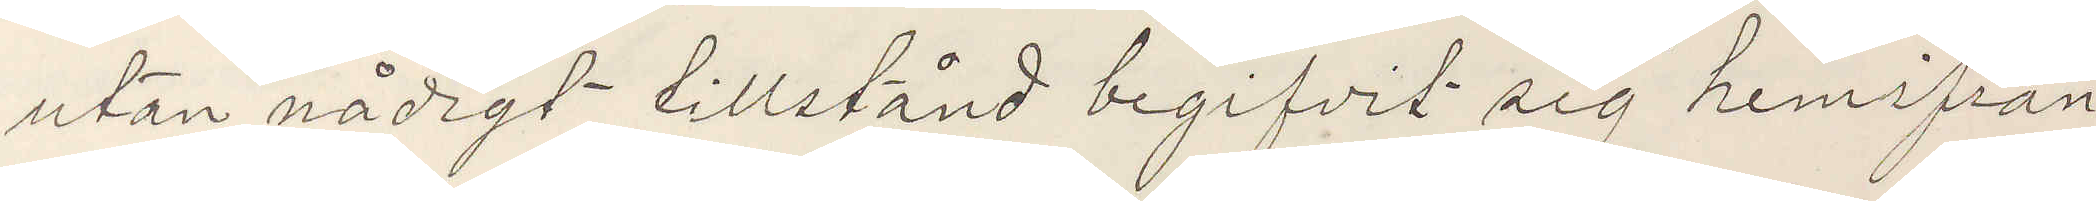utan nådigt tillstånd begifvit sig hemifrån
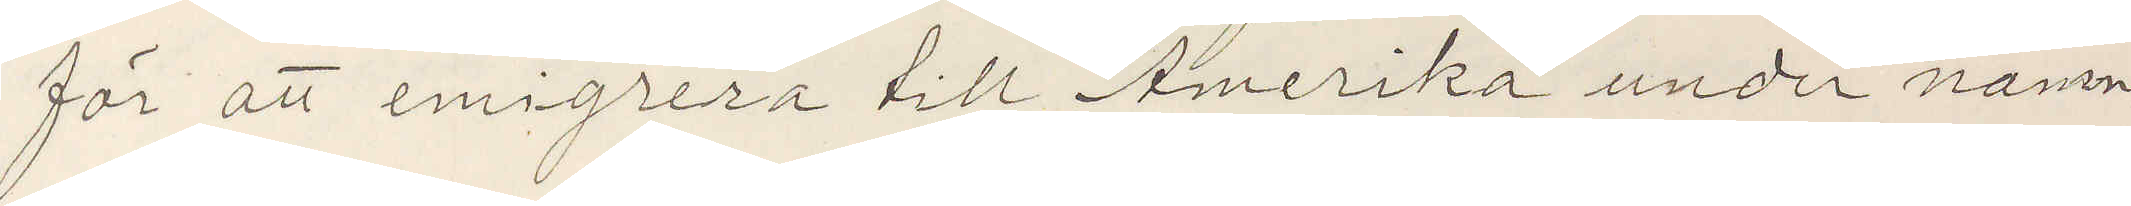för att emigrera till Amerika under namn
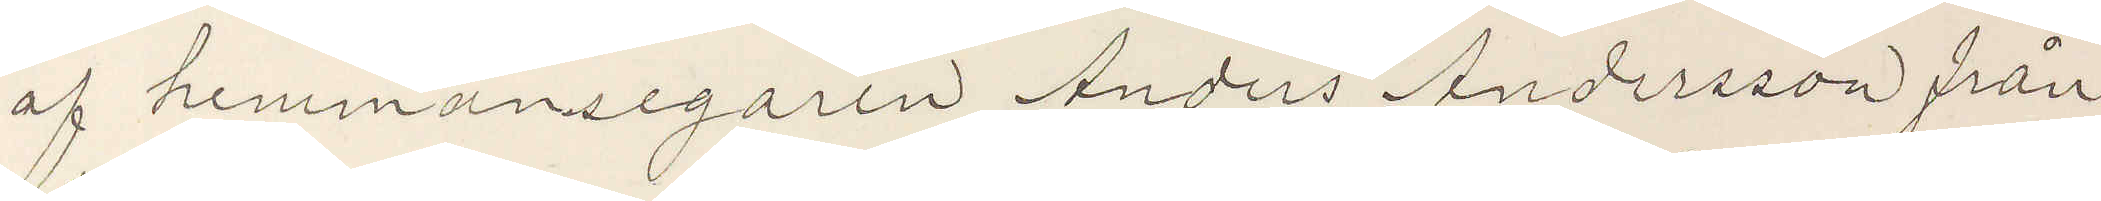af hemmansegaren Anders Andersson från
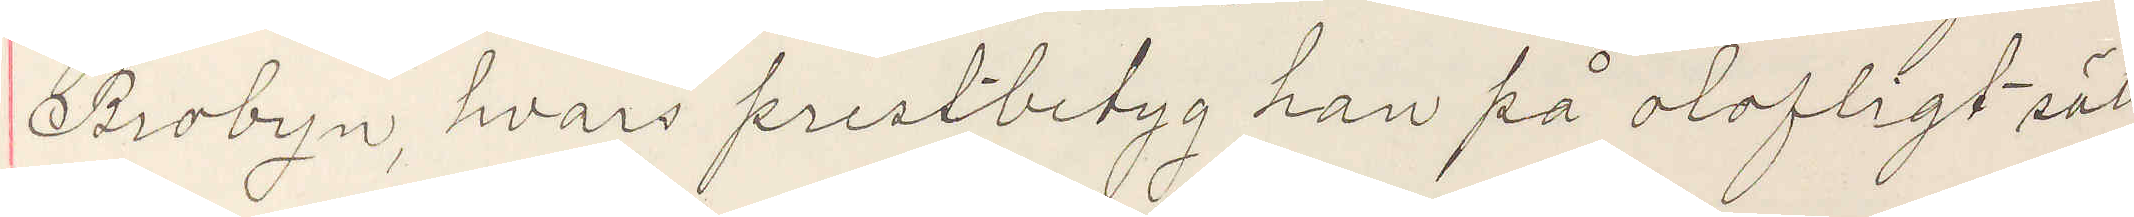Brobyn, hvars prestbetyg han på olofligt sätt
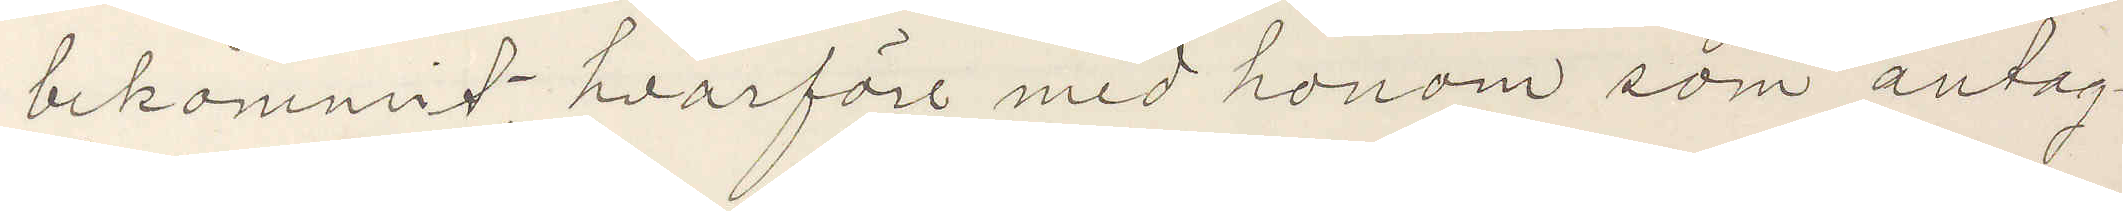bekommit, hvarföre med honom som antag¬
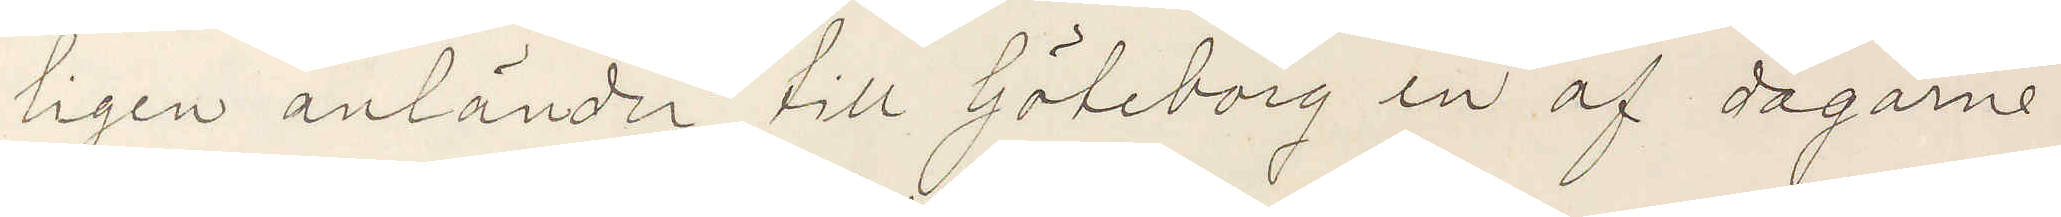ligen anländer till Göteborg en af dagarne
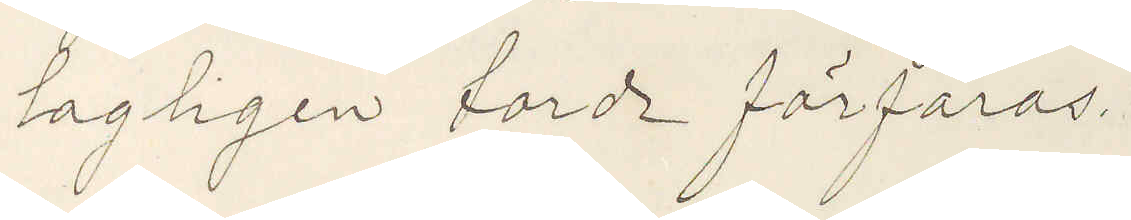lagligen torde förfaras.
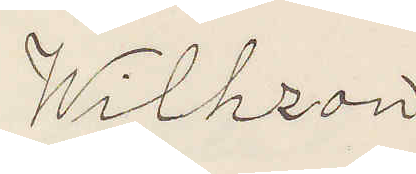Wilhzon
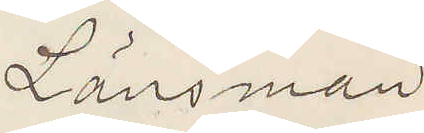Länsman
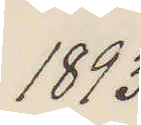1893
